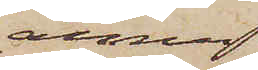ännu
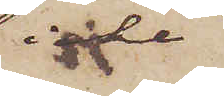icke
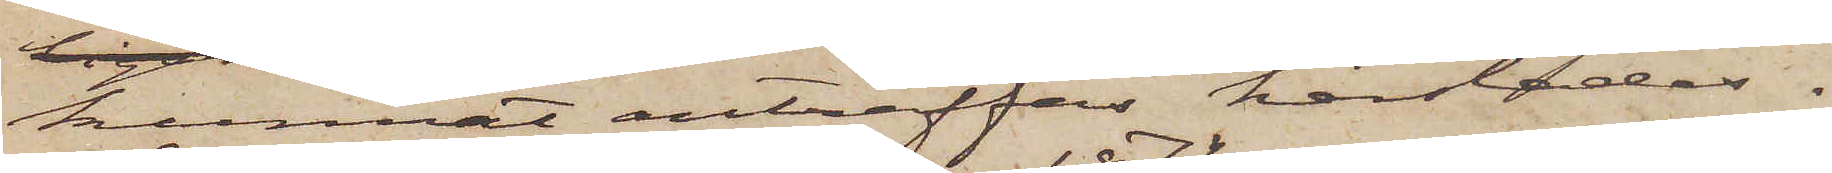kunnat anträffas härstädes.
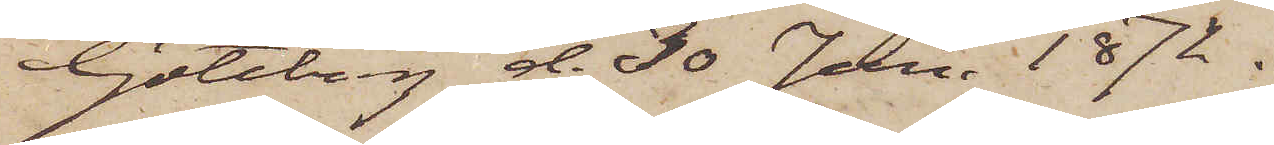Göteborg d. 30 Jan. 1872.
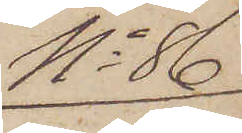No 86
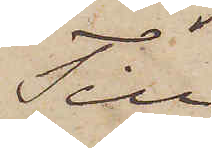Till
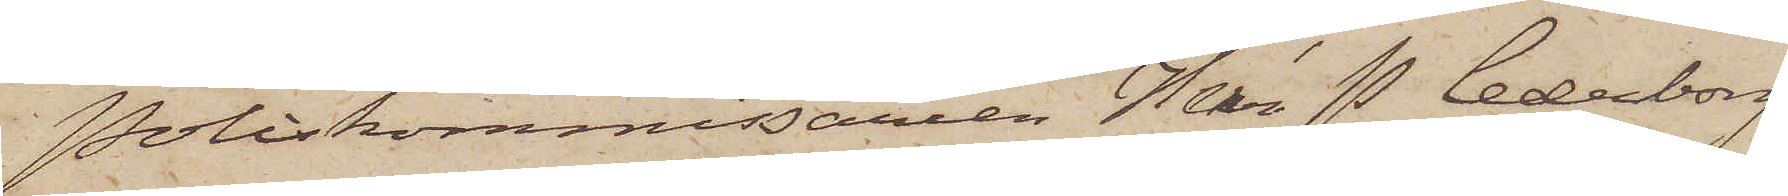Poliskommissaren Herr P. Cederborg.
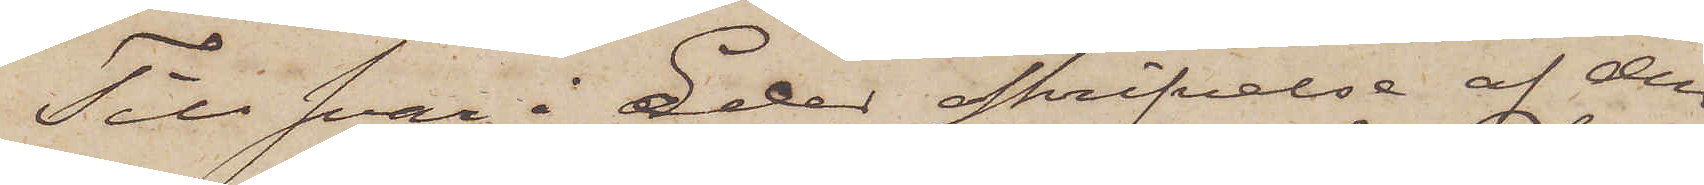Till svar å Eder skrifvelse af den
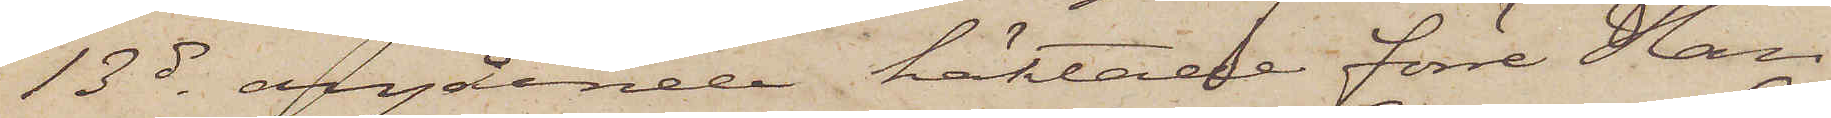13 ds angående häktade förre Han¬
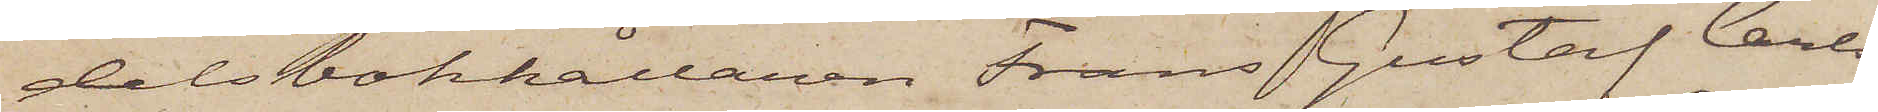delsbokhållaren Frans Gustaf Carls¬
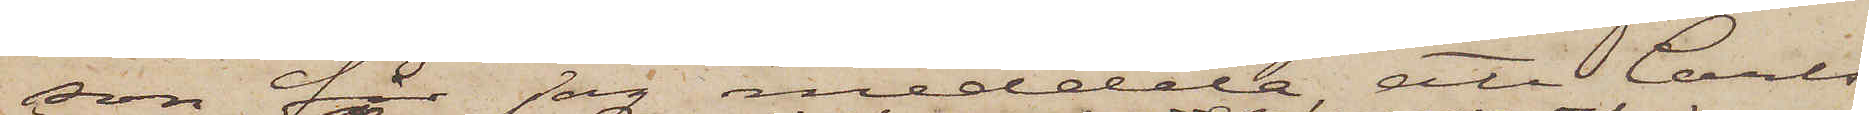son får jag meddela, att Carls¬
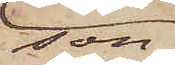son,
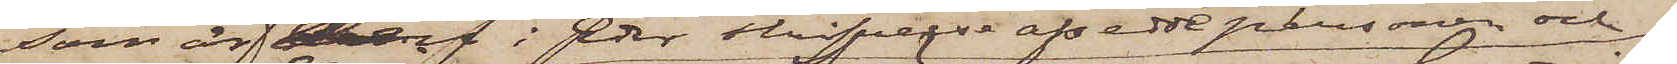som är den i Eder skrifvelse afsedde personen och
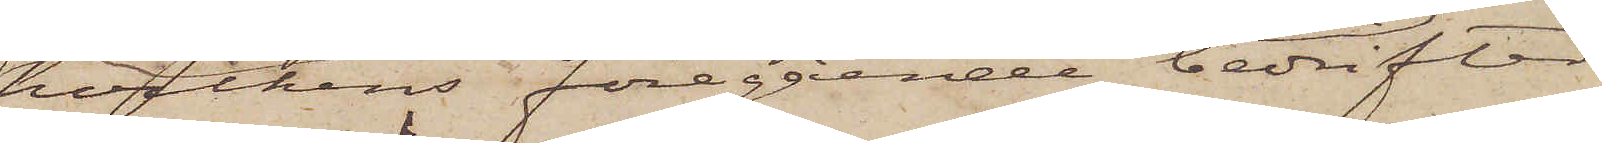hvilkens föregående bedrifter
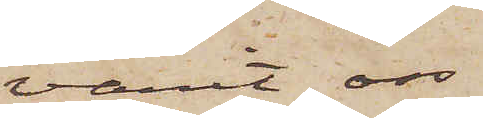varit oss
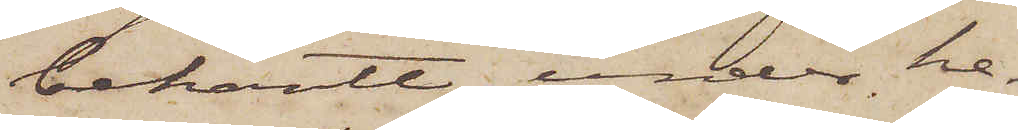bekant, under he¬
